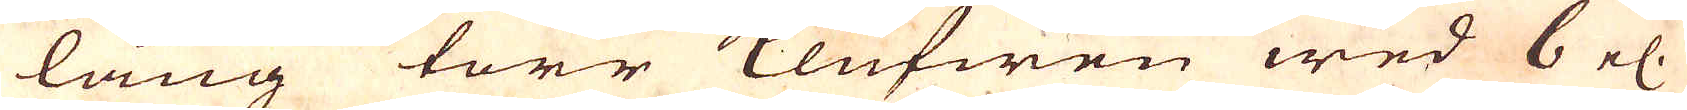lång torr klufwen wed 6 el:
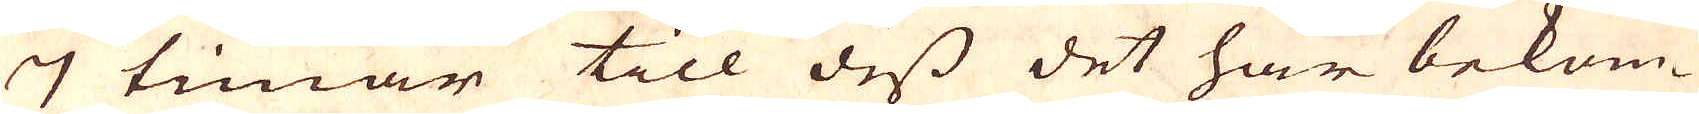7 timar till dess det har bekom-
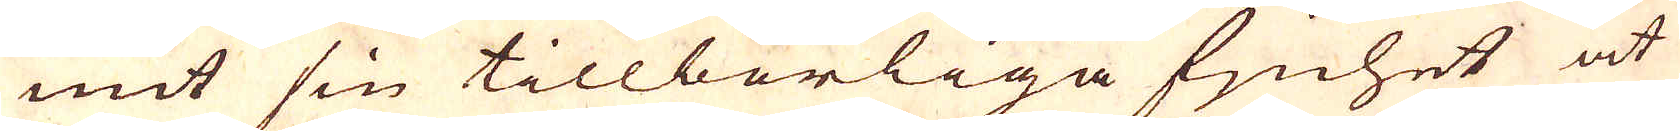mit sin tillbörliga fjnhet at
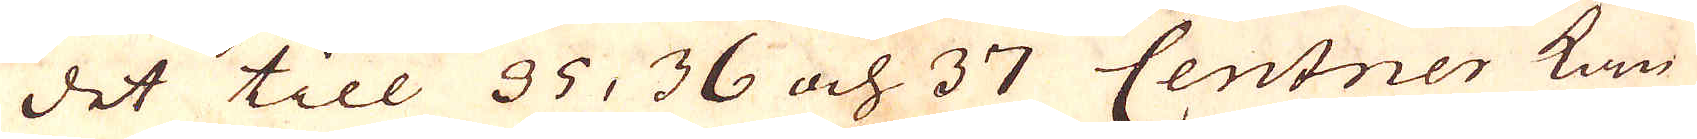det till 35, 36 och 37 Centner kan
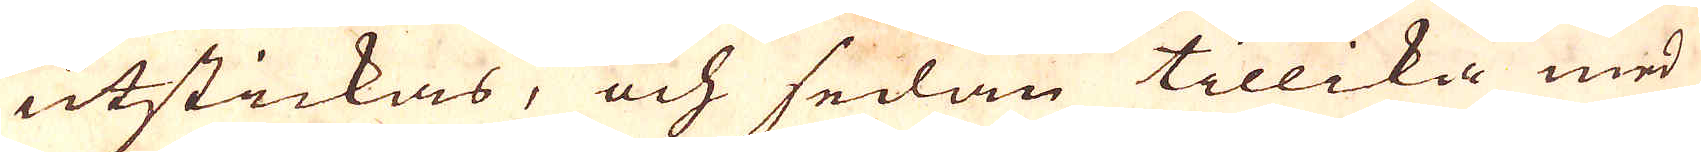utstickas, och sedan tillika med
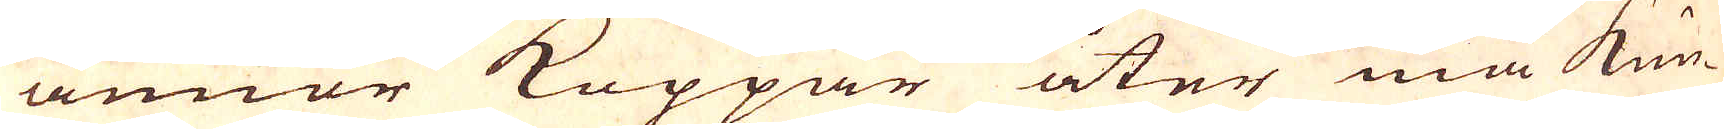annor Koppar åter må kun-
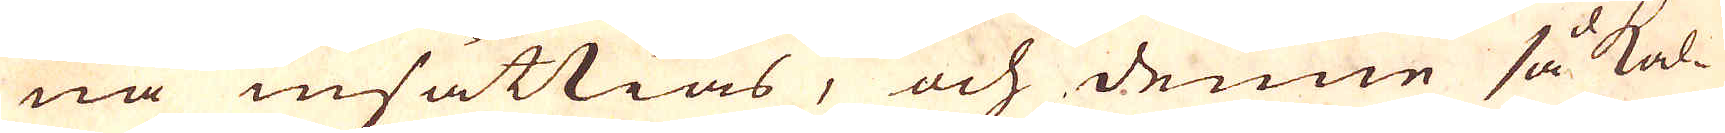na insättias, och denne så kal-
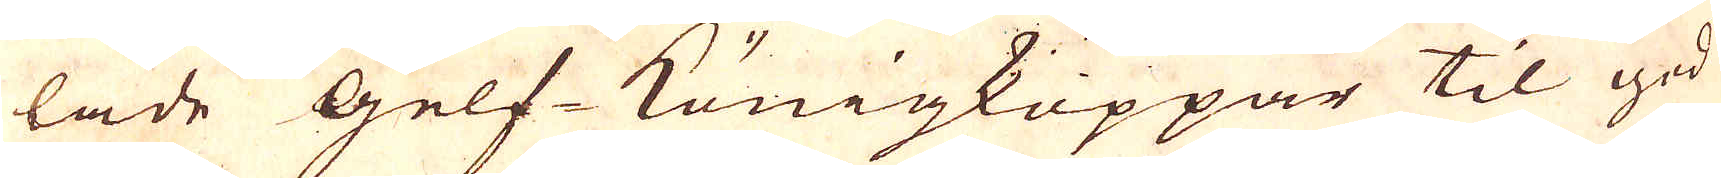lade Gelf-Königkoppar til god
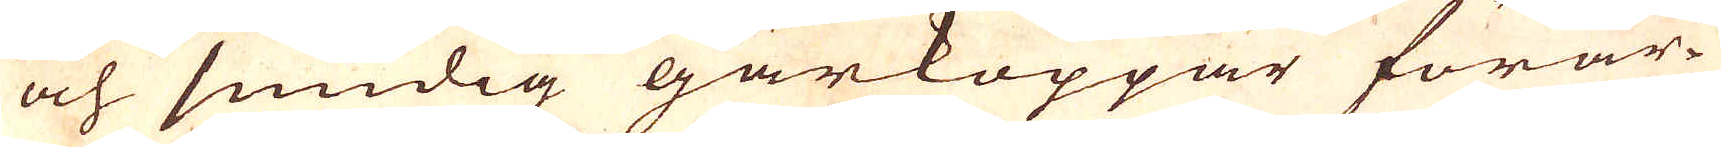och smidig gårkoppar förar-
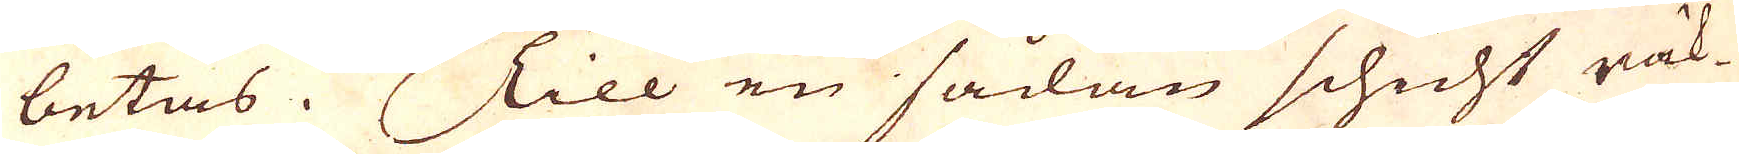betas. Till en sådan schicht räk-
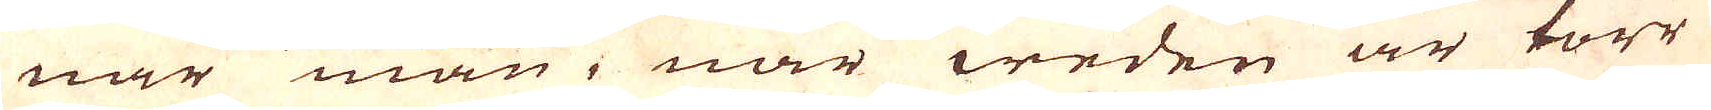nar man, när weden är torr
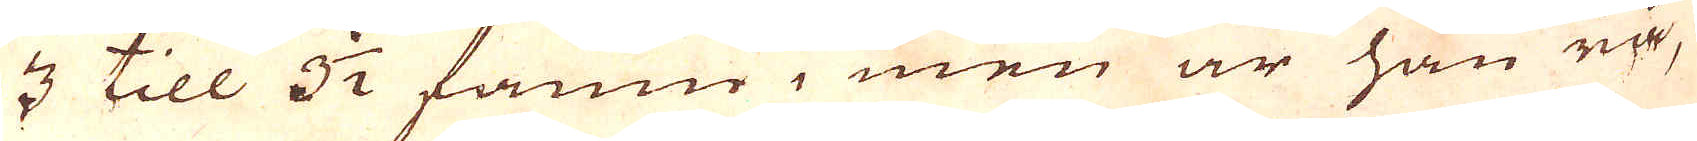3 till 3 1/2 famn, men är han rå,
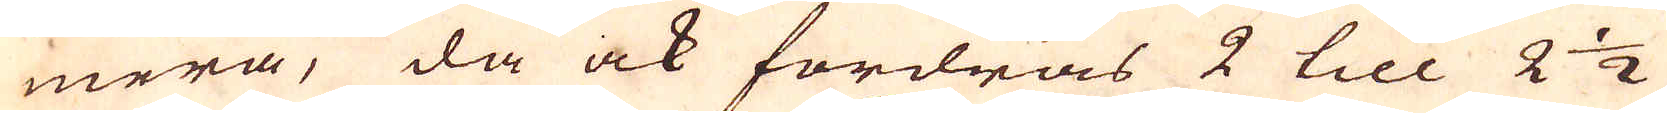mera, då ock fordras 2 till 2 1/2
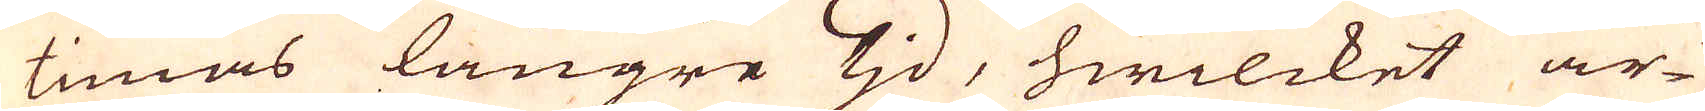timas längre tjd, hwilcket ar-
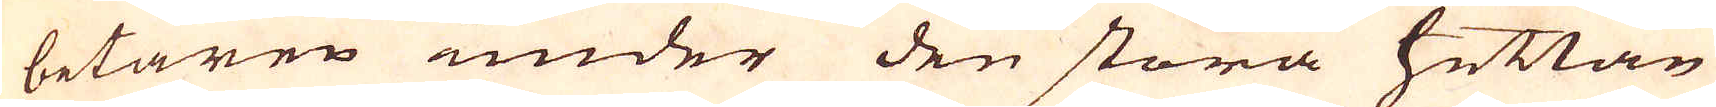betaren under den stora hettan
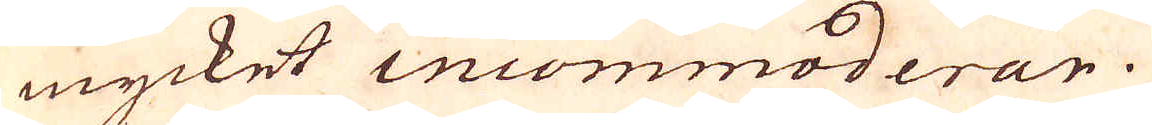mycket incommoderar.
